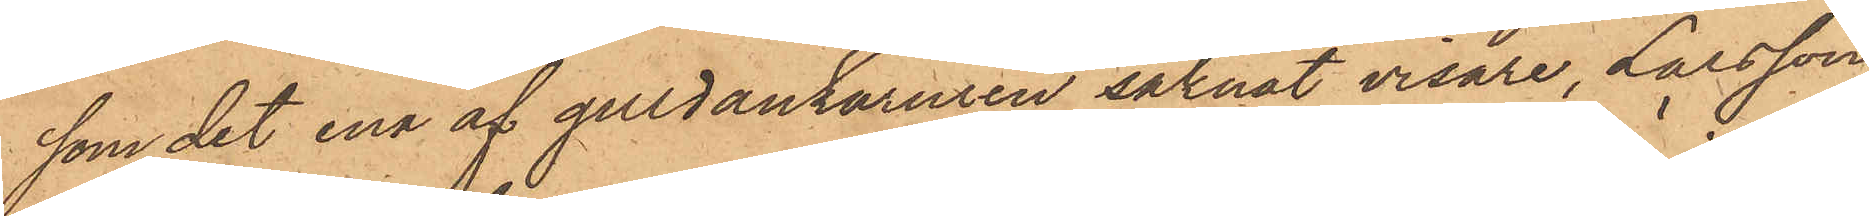som det ena af guldankaruren saknat visare, Larsson
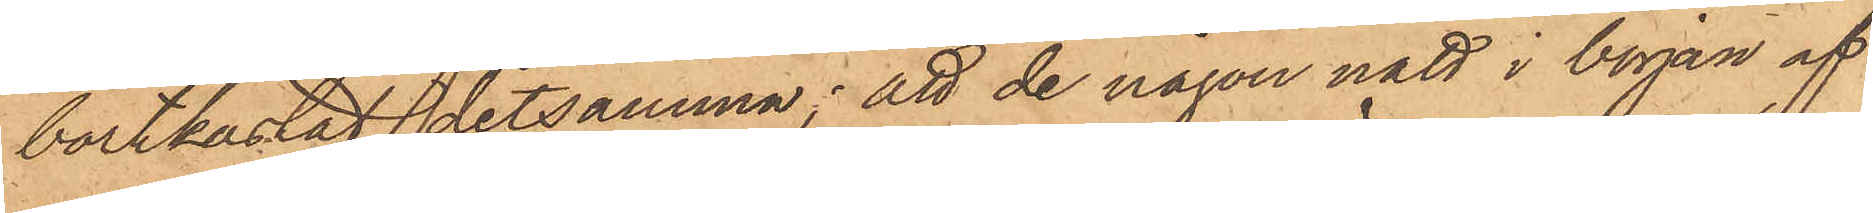bortkastat detsamma; att de någon natt i början af
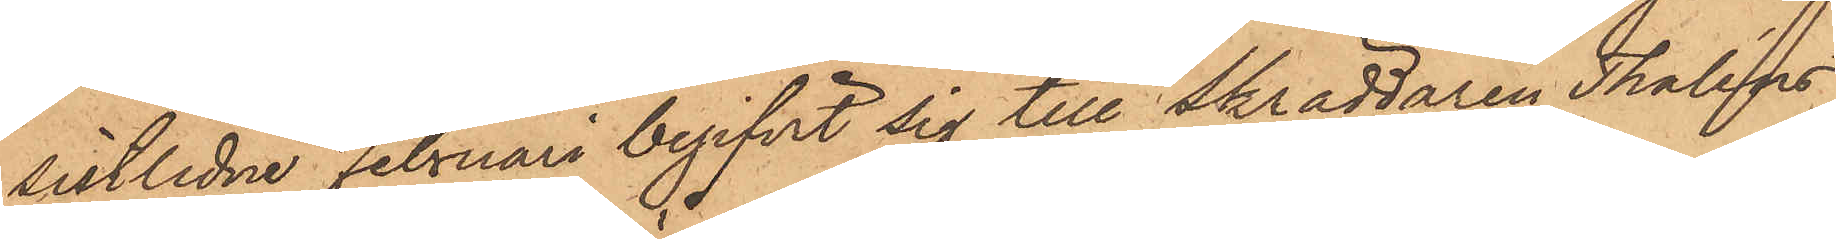sistlidne Februari begifvit sig till Skräddaren Thaléns
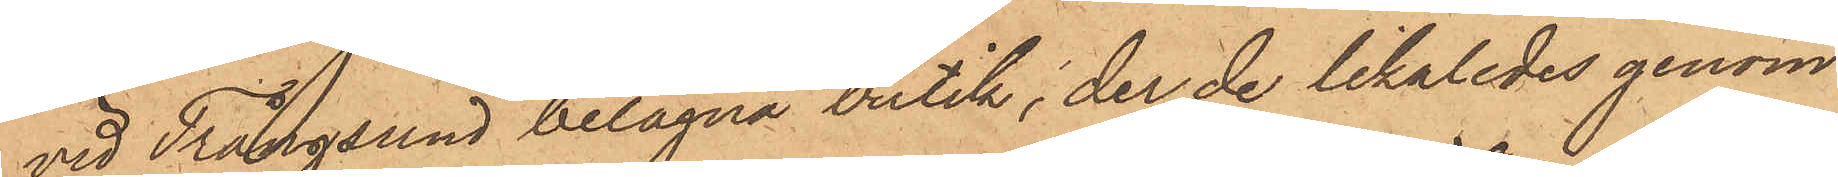vid Trångsund belägna butik, der de likaledes genom
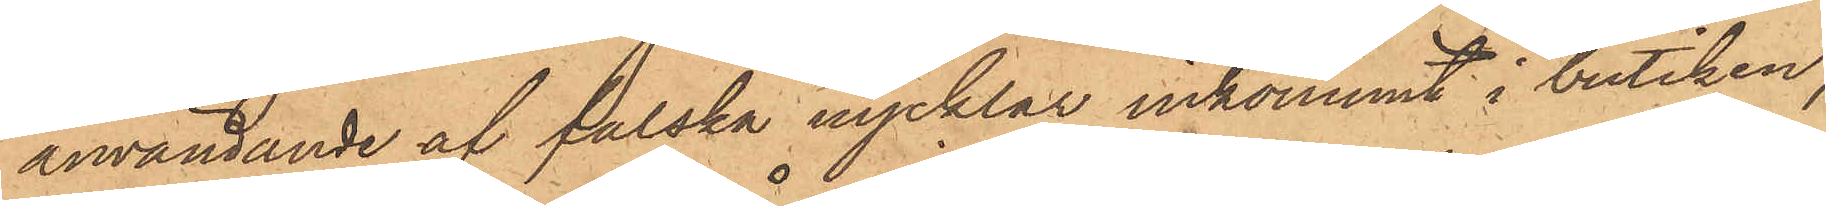användande af falska nycklar inkommit i butiken,
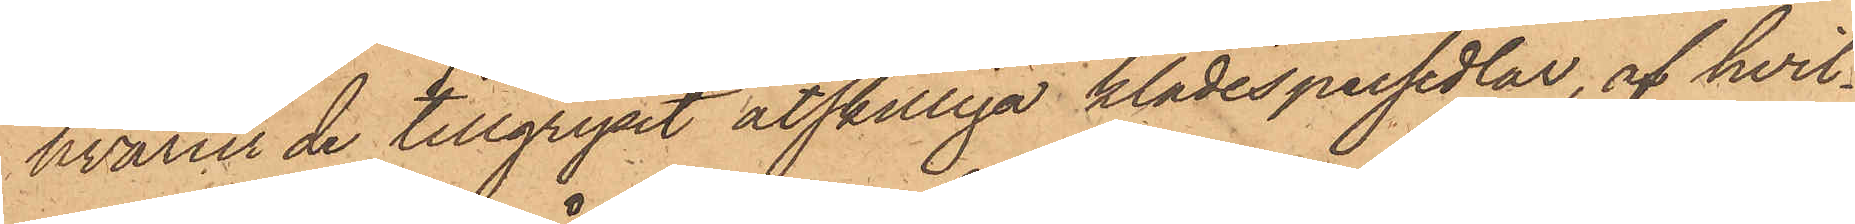hvarur de tillgripit åtskilliga klädespersedlar, af hvil¬
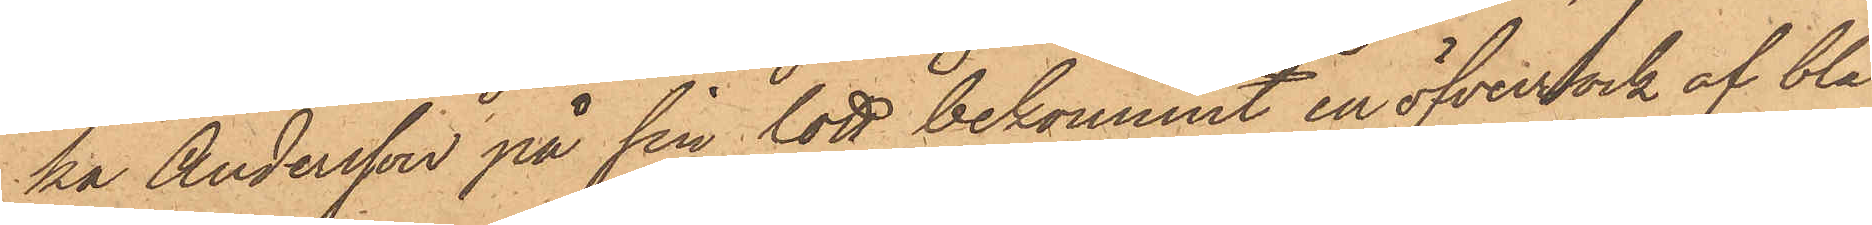ka Andersson på sin lott bekommit en öfverrock af blå
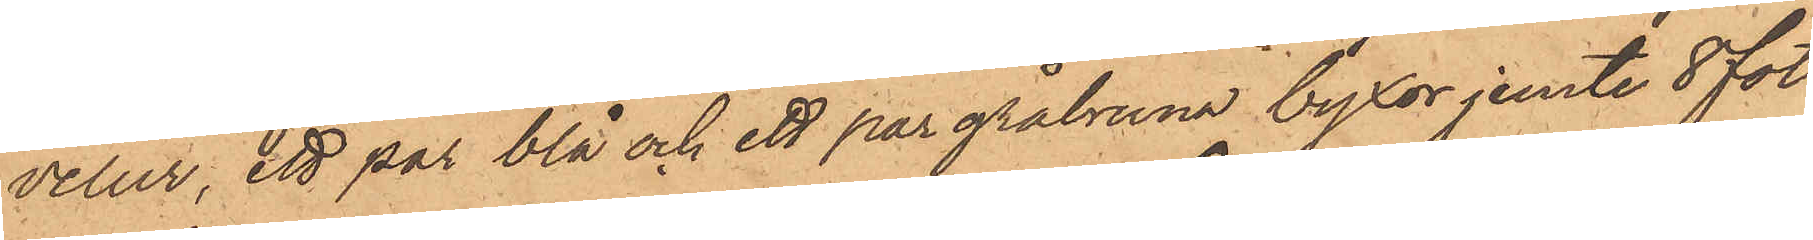velur, ett par blå och ett par gråbruna byxor jemte 8 fot
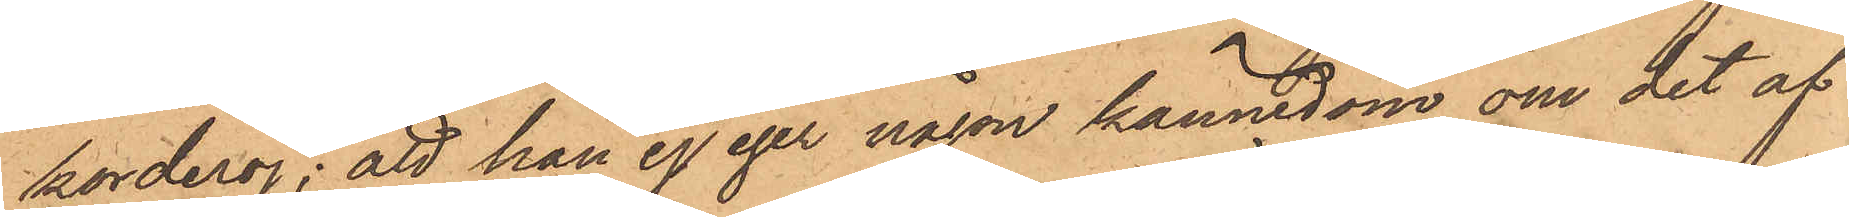korderoj; att han ej eger någon kännedom om det af
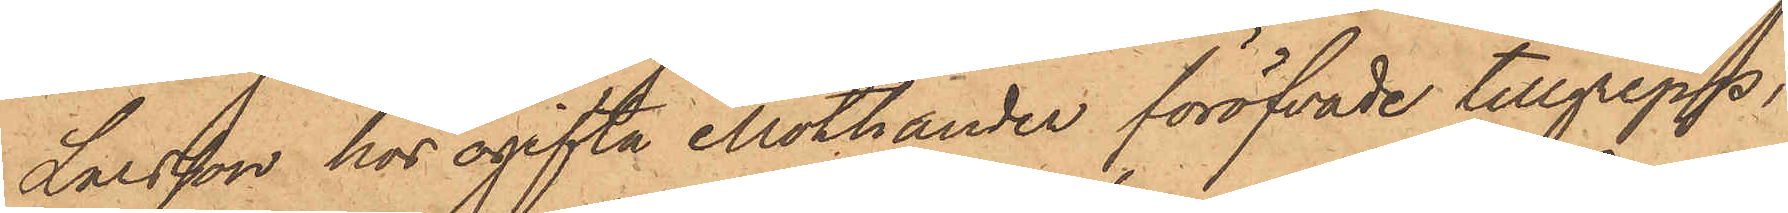Larsson hos ogifta Mothander föröfvade tillgrepp,
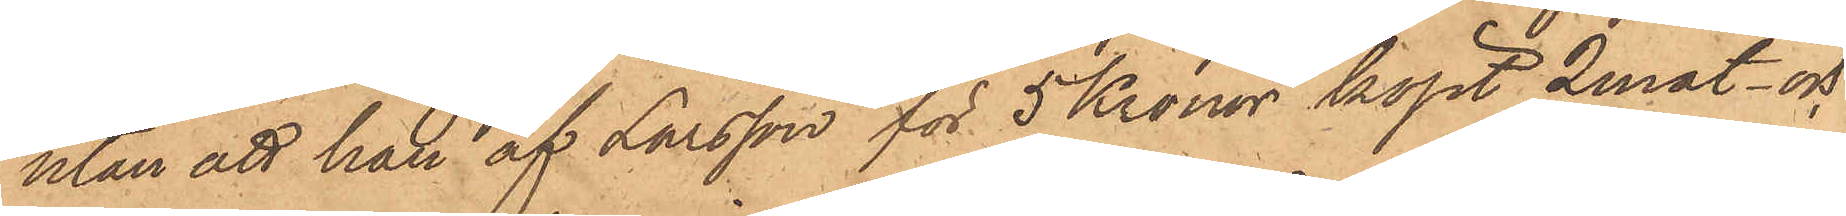utan att han af Larsson för 5 Kronor köpt 2 mat- och
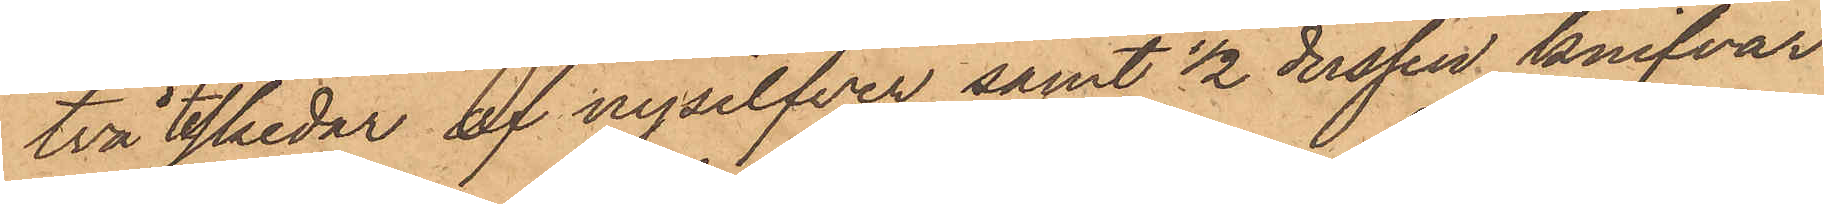två skedar af nysilfver samt 1/2 dussin knifvar
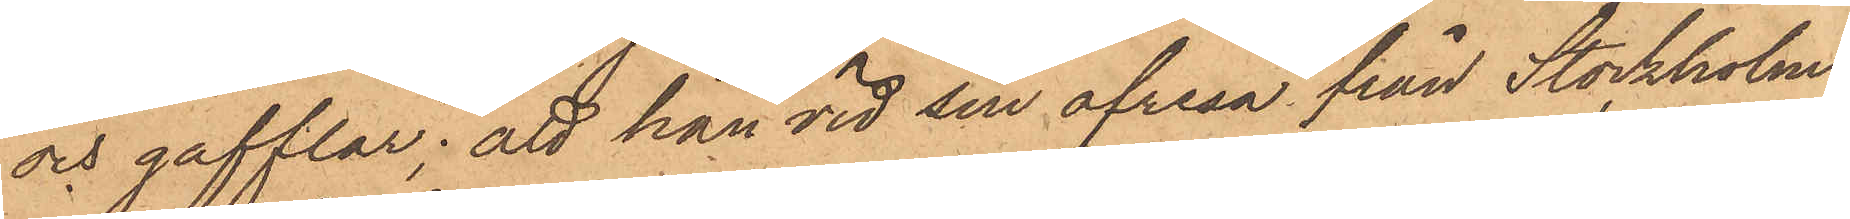och gafflar; att han vid sin afresa från Stockholm
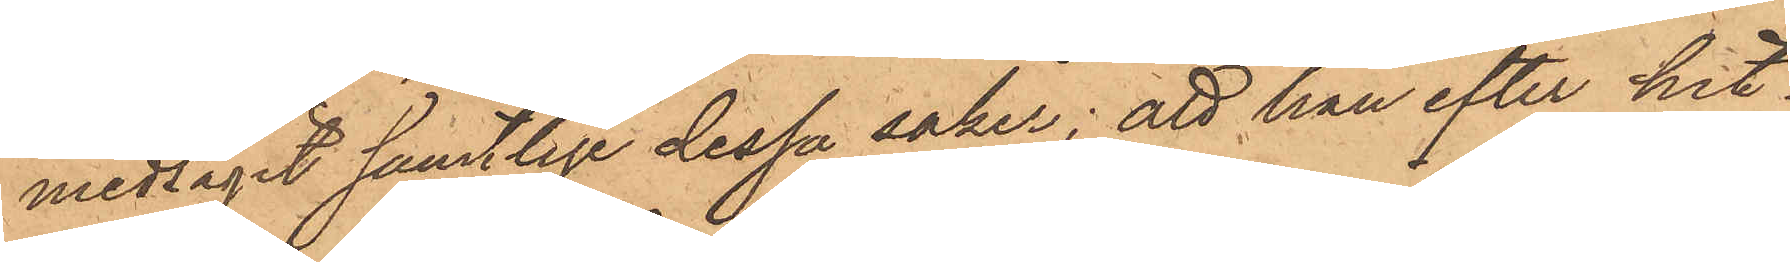medtagit samtlige dessa saker; att han efter hit¬
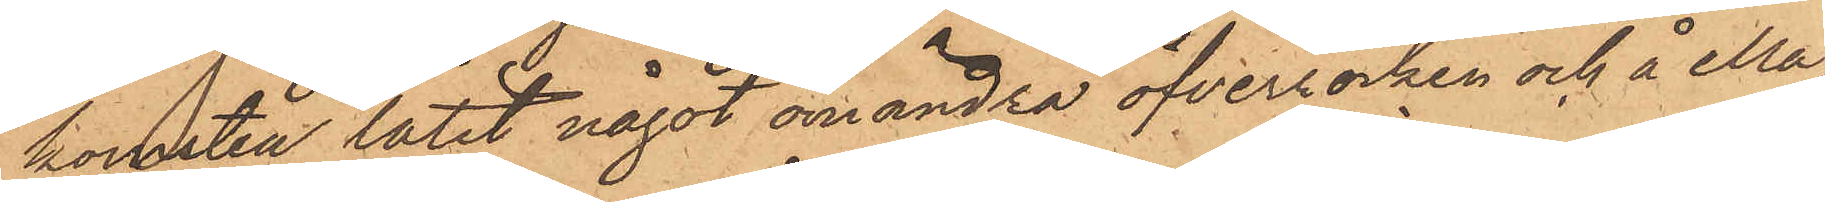komsten låtit något omändra öfverrocken och å Ma¬
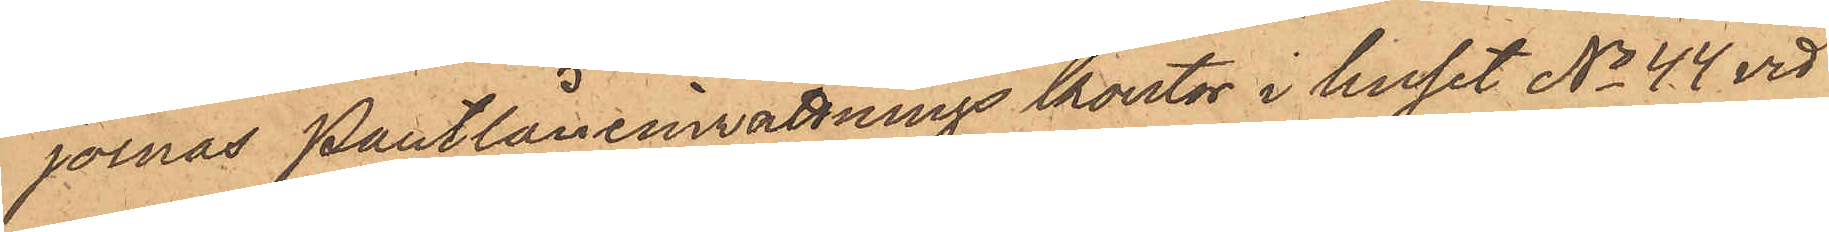jornas Pantlåneinrättnings kontor i huset No 44 vid
